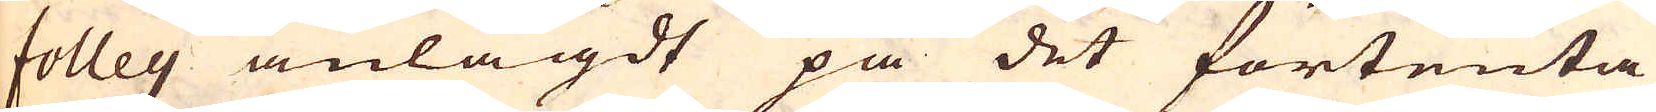folley anlagdt på det förtenta
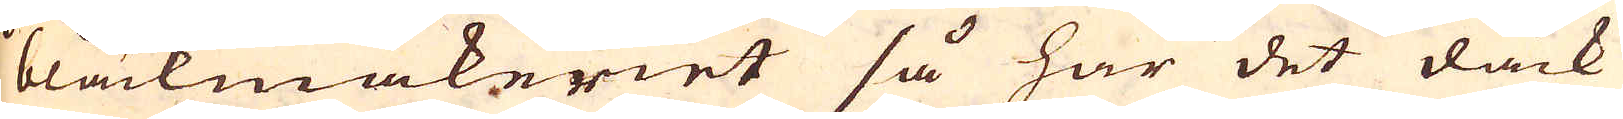bläckmakeriet så har det dåck
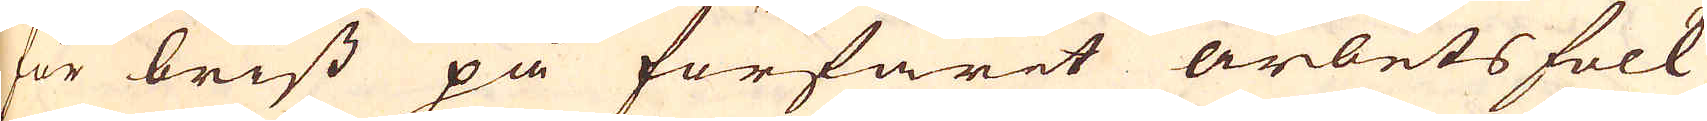för brist på förfarit arbets folk
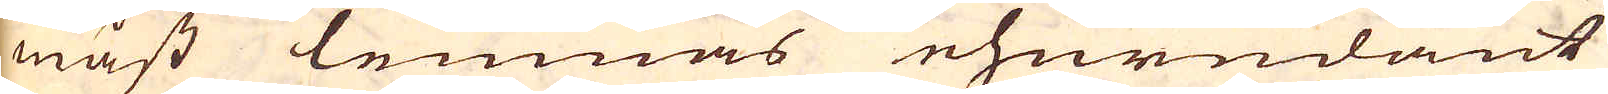mäst lemnas ehurudant
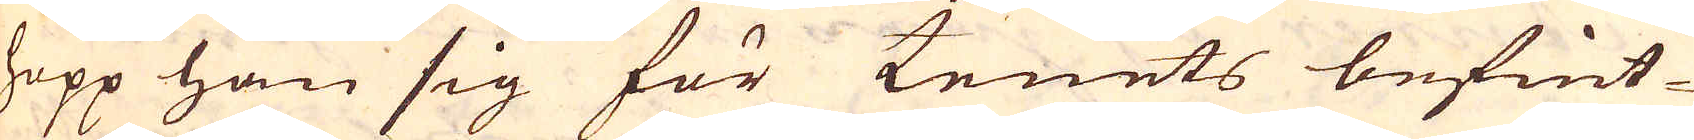hopp han sig för tenets befint-
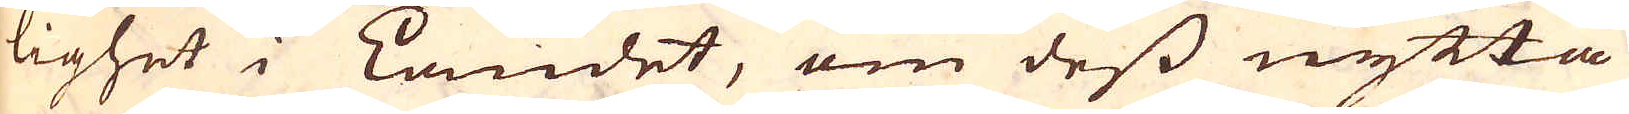lighet i Landet, om dess nytta
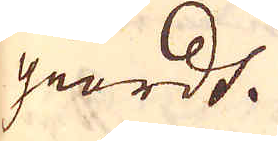giordt.
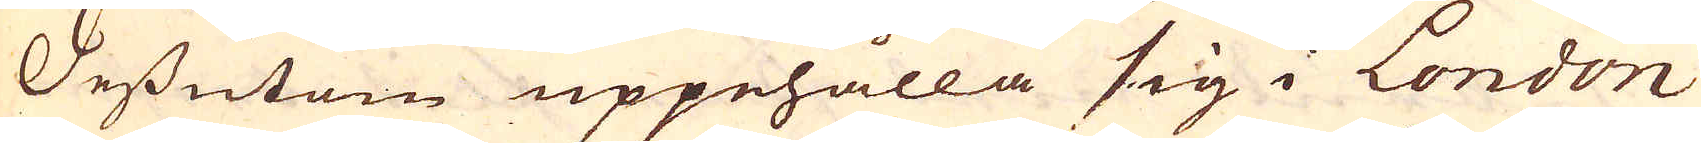Dessutom uppehålla sig i London
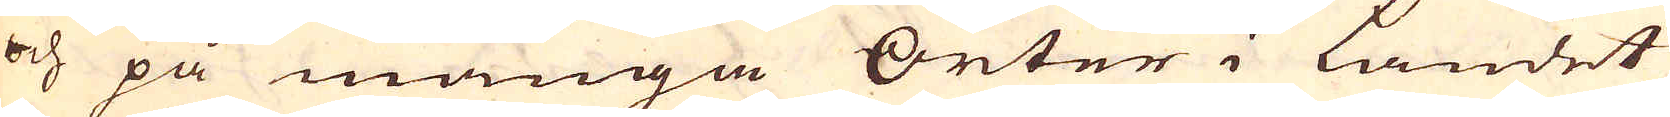och på många Orter i landet
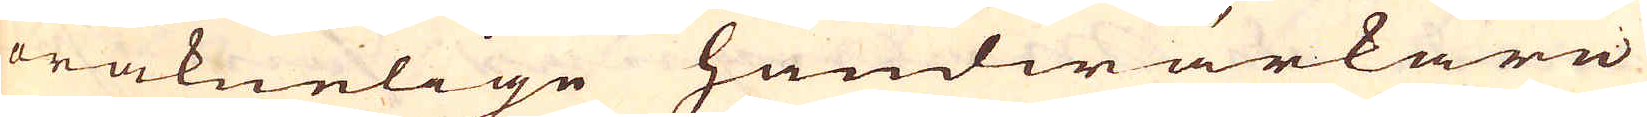oräknelige handwärkare
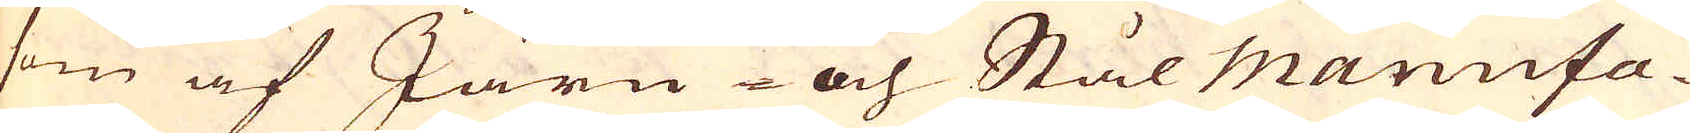som af Järn- och Stål Manufa-
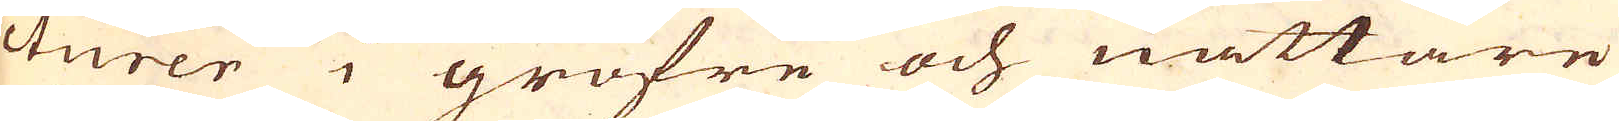cturer i gröfre och nättare
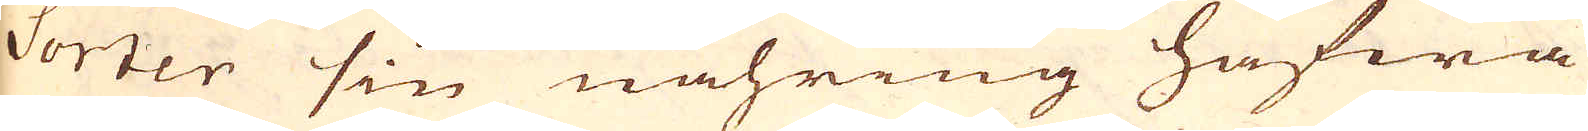Sorter sin nähring hafwa
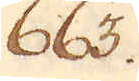663.
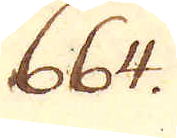664.
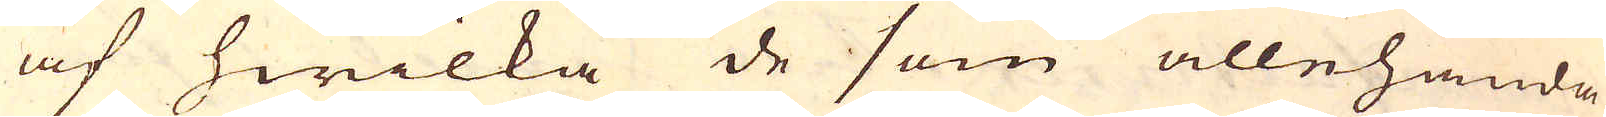af hwilka de som allehanda
